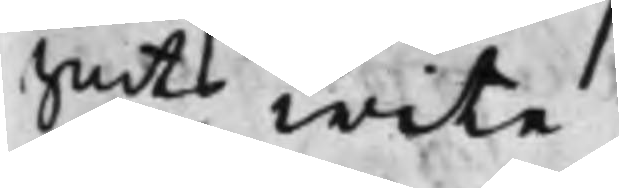Smts wite.
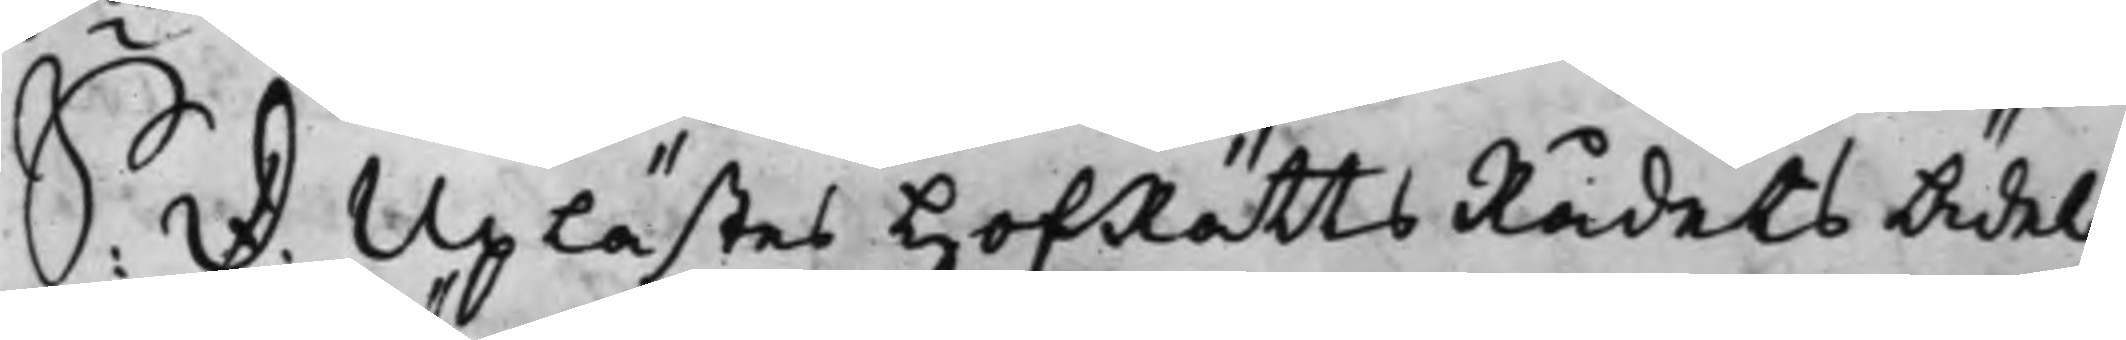S: d: Uplästes HofRättsRådets Ädel
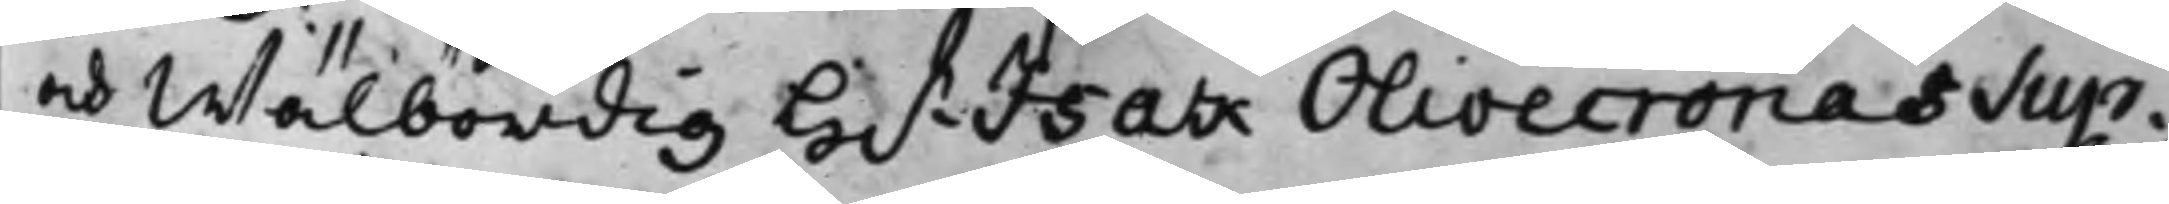och Wälbördig H.r Isak Olivecronas Sup¬
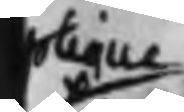plique
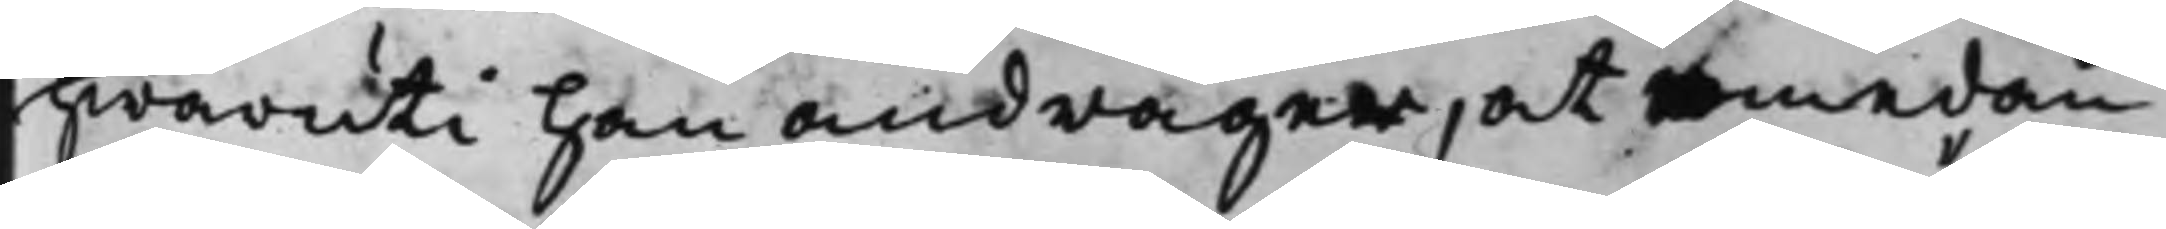hwaruti han andrager, at emedan
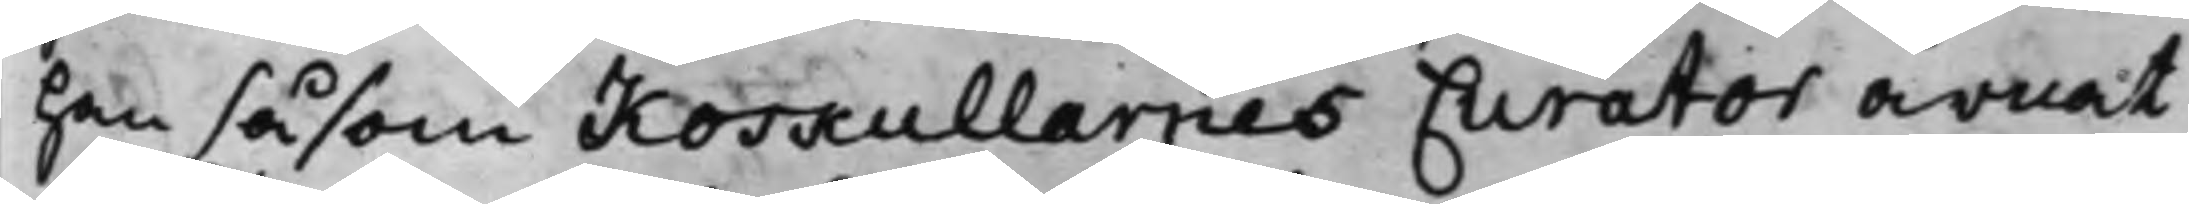han såsom Koskullarnes Curator ärnat
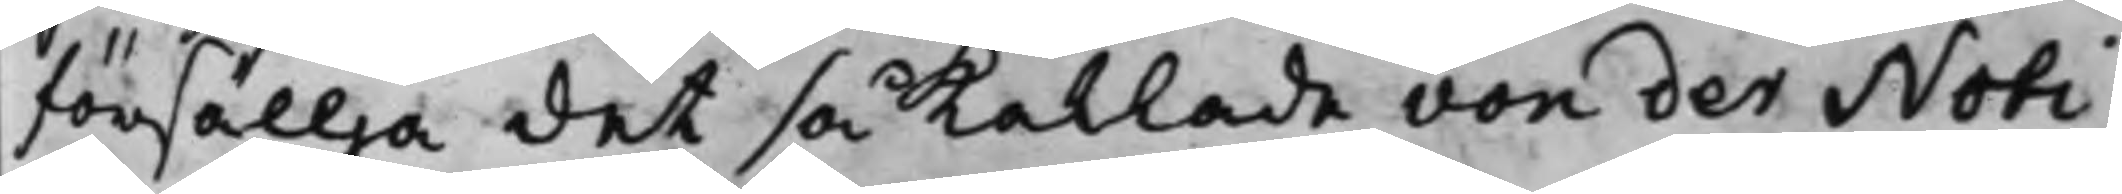försällja det så Kallade von der Noti¬
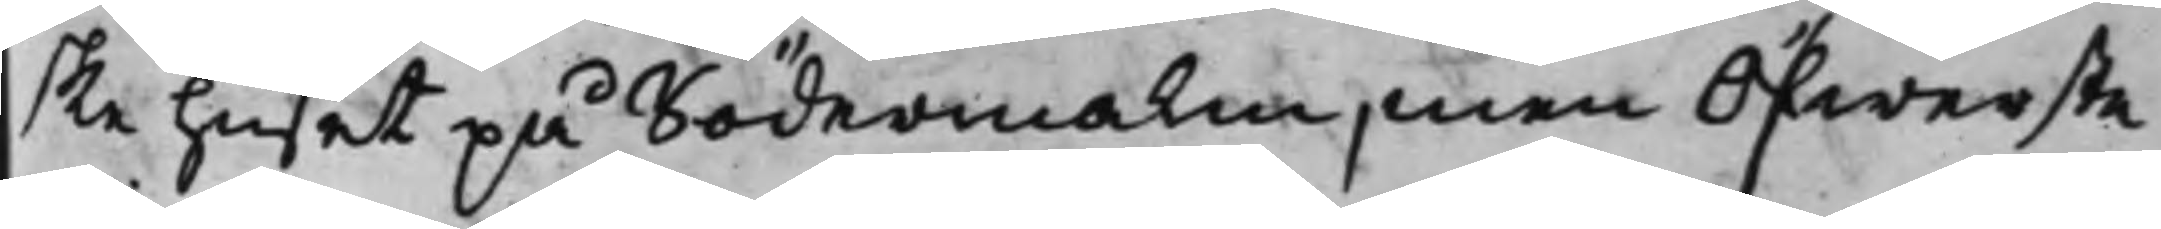ske huset på Södermalm, men Öfwerste¬
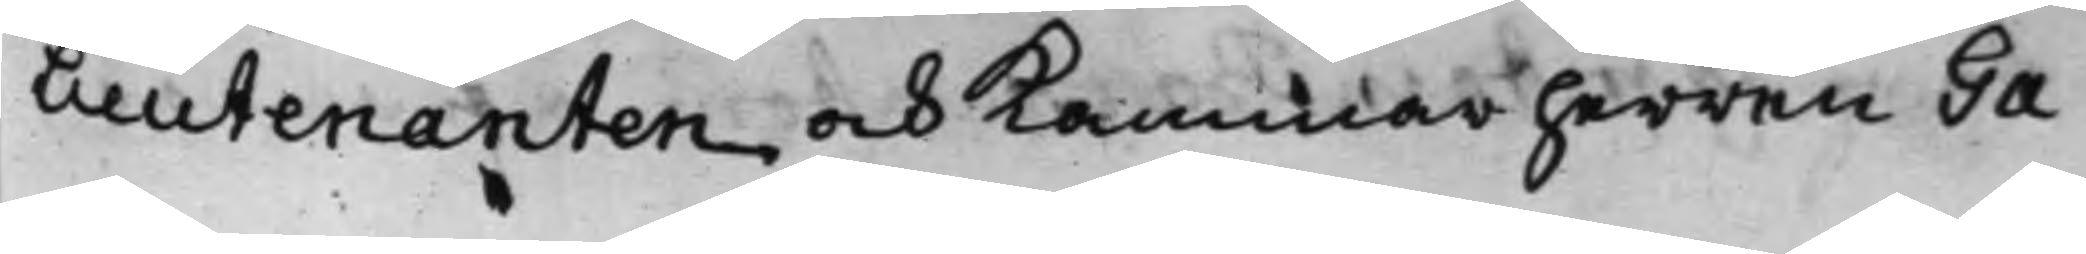Lieutenanten och Kammarherren Ga¬
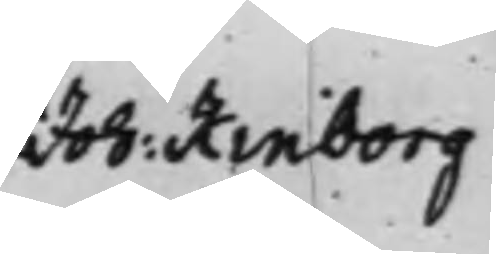Joh: Kinborg
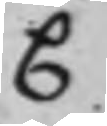C
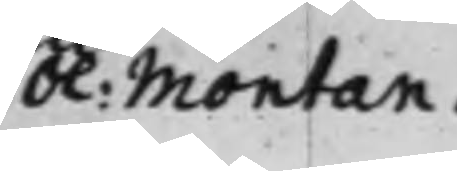Ol: Montan.
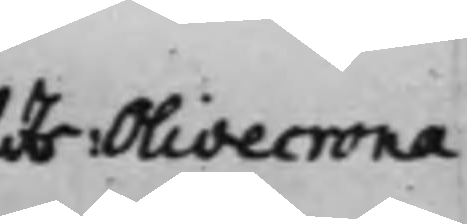Hr: Olivecrona
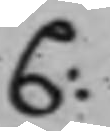C:
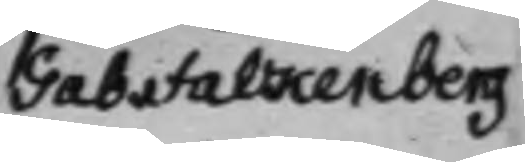Gab. Falkenberg
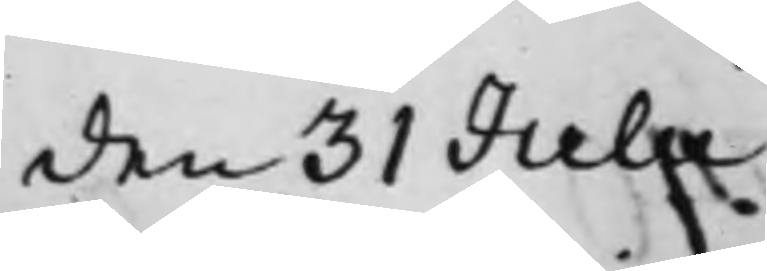den 31 Julii
